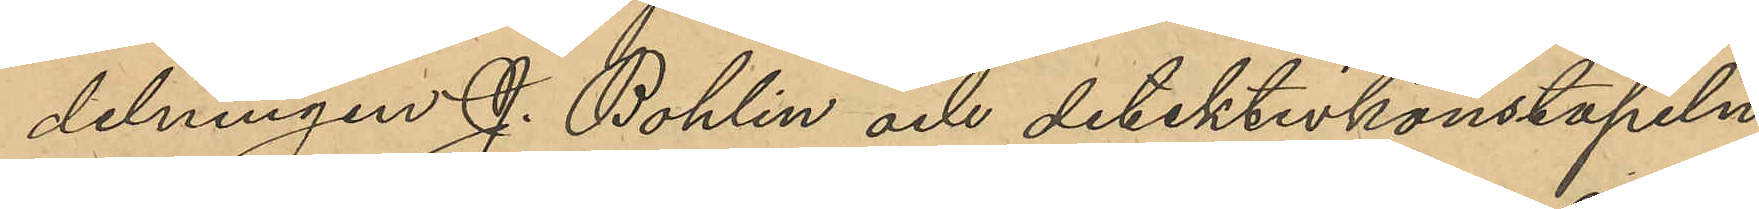delningen J. Bohlin och detektivkonstapeln
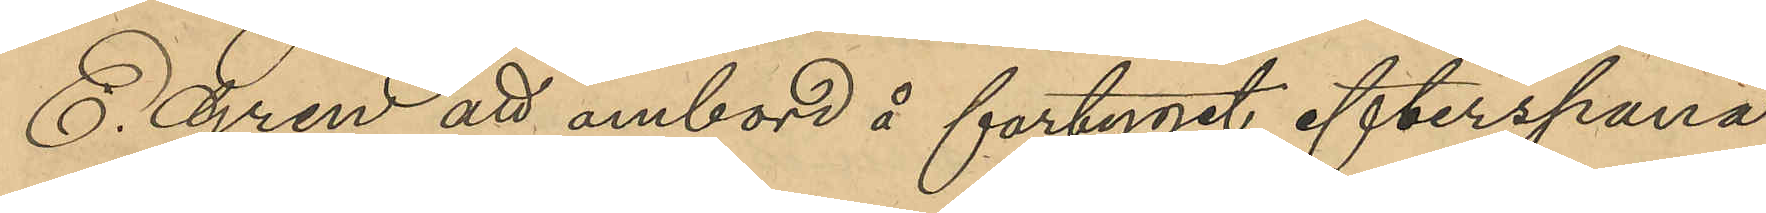E. Gren att ombord å fartyget efterspana
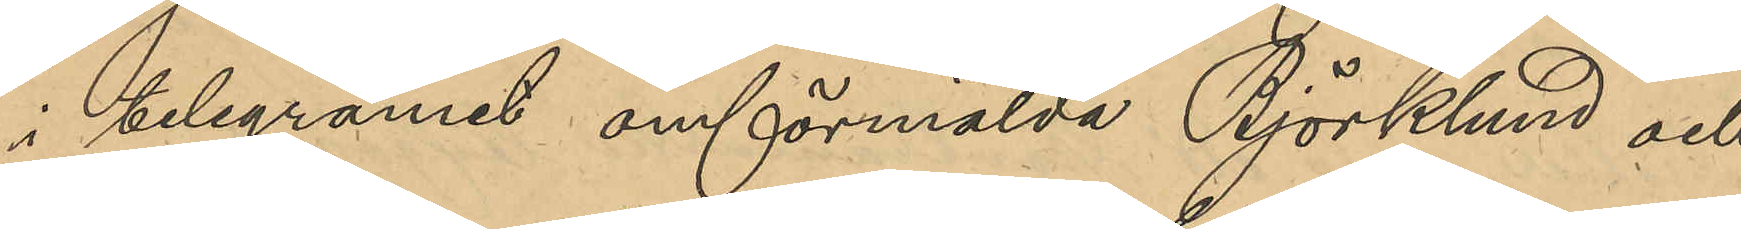i telegramet omförmälde Björklund och
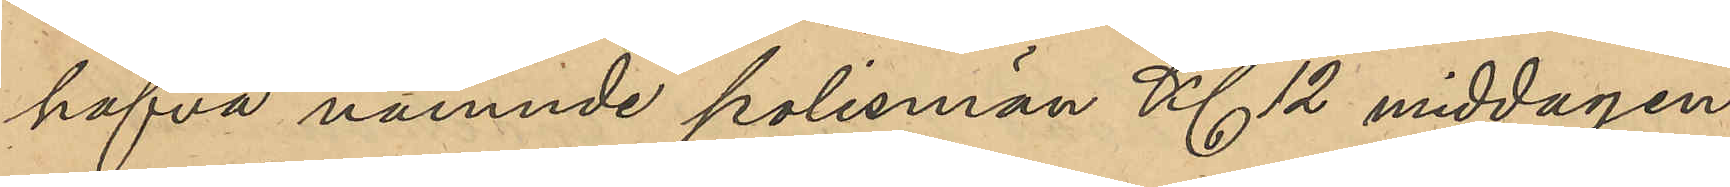hafva nämnde polismän Kl 12 middagen
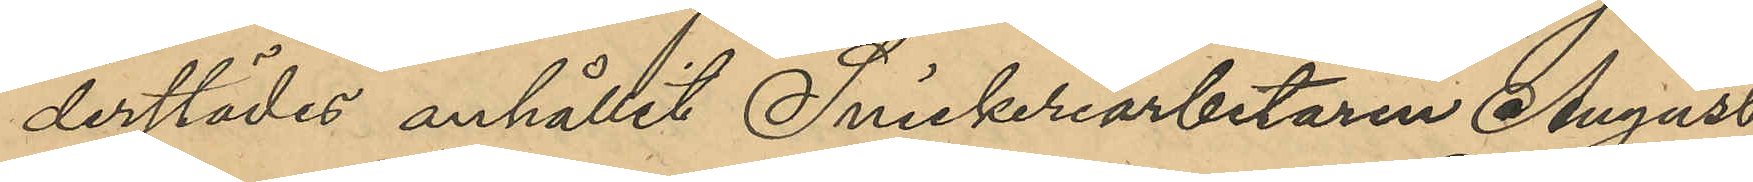derstädes anhållit Snickeriarbetaren August
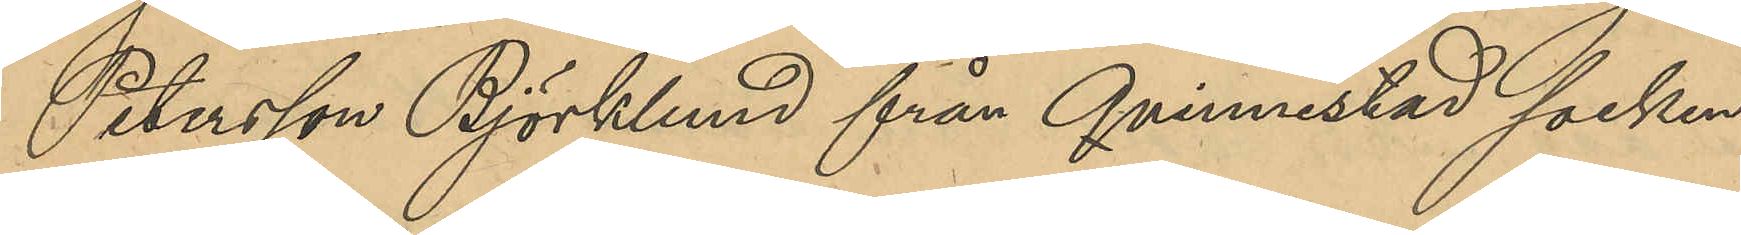Petersson Björklund från Qvinnestad socken
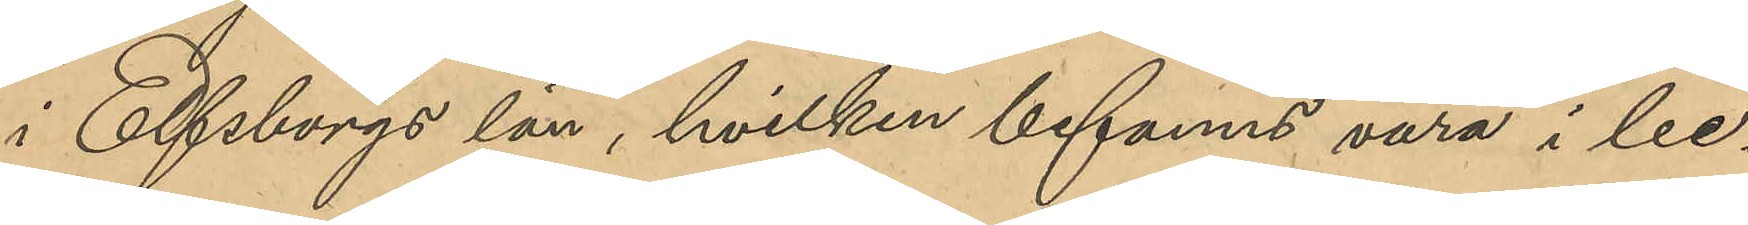i Elfsborgs län, hvilken befanns sig vara i be¬
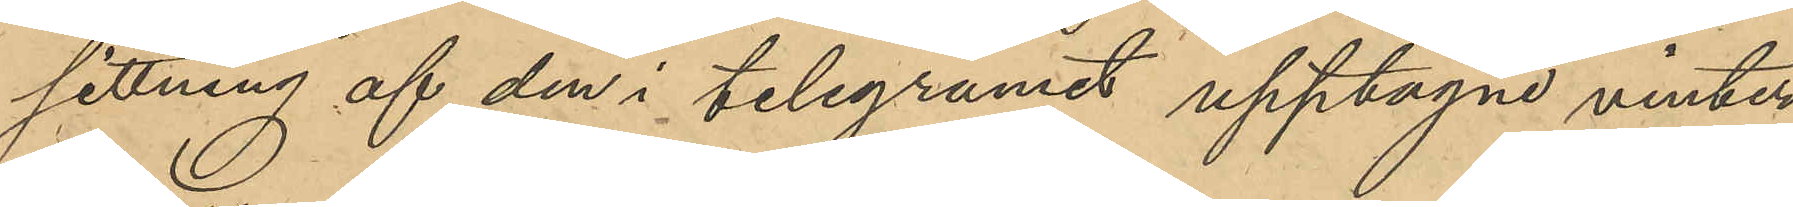sittning af den i telegramet upptagne vinter¬
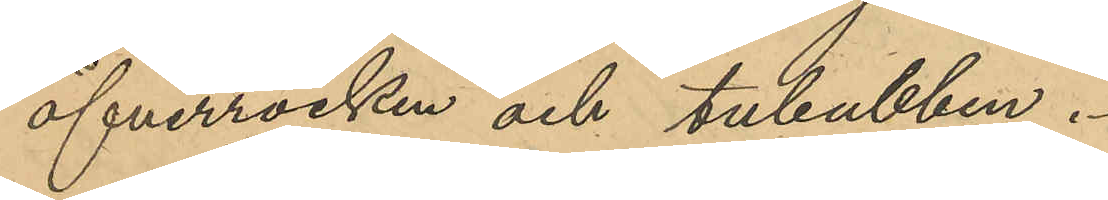öfverrocken och tuleubben.
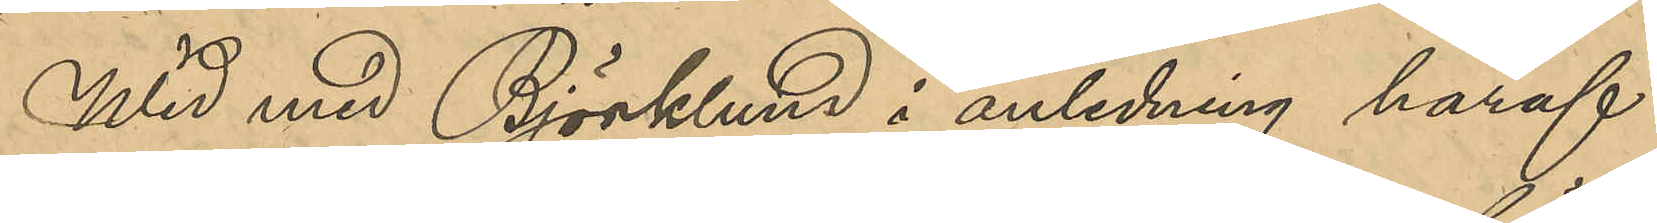Wid med Björklund i anledning häraf
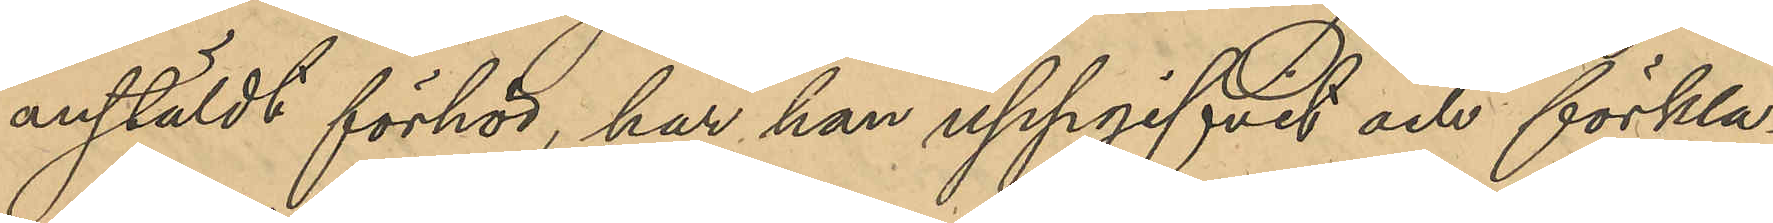anstäldt förhör, har han uppgifvit och förkla¬
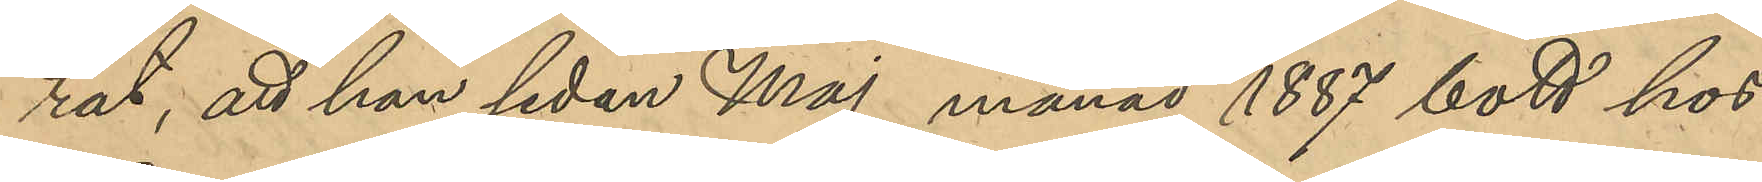rat, att han sedan Maj månad 1887 bott hos
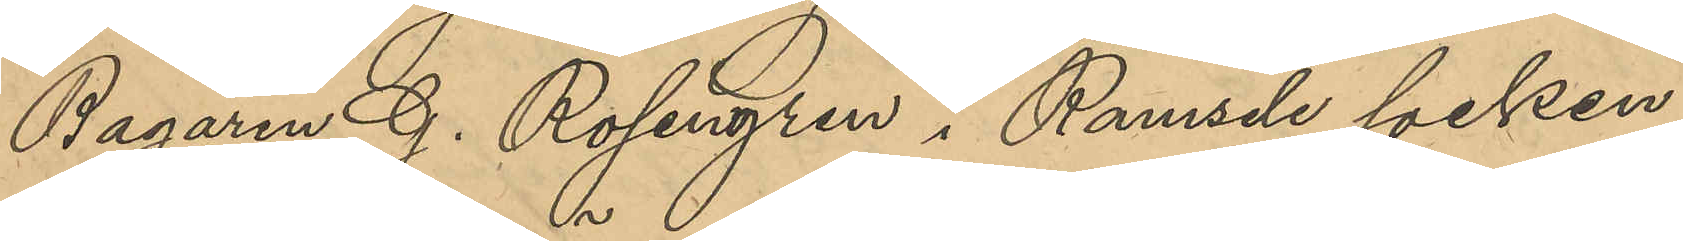Bagaren G. Rosengren i Ramsele socken;
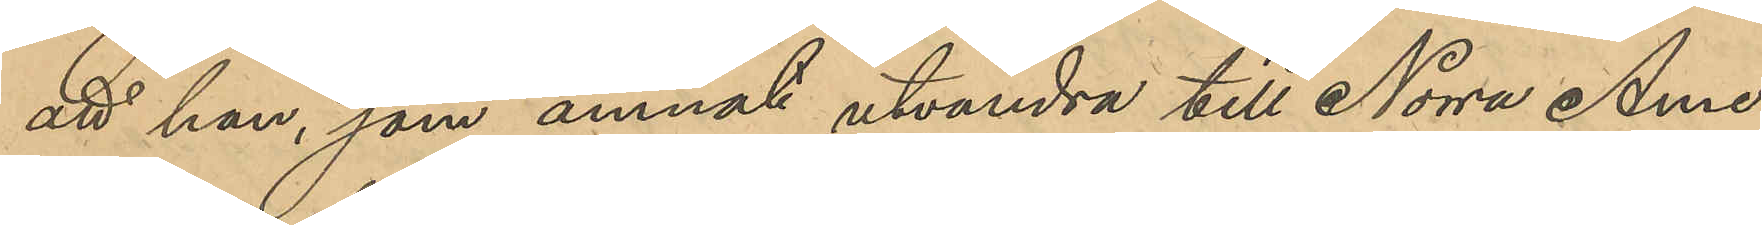att han som ämnat utvandra till Norra Ame¬
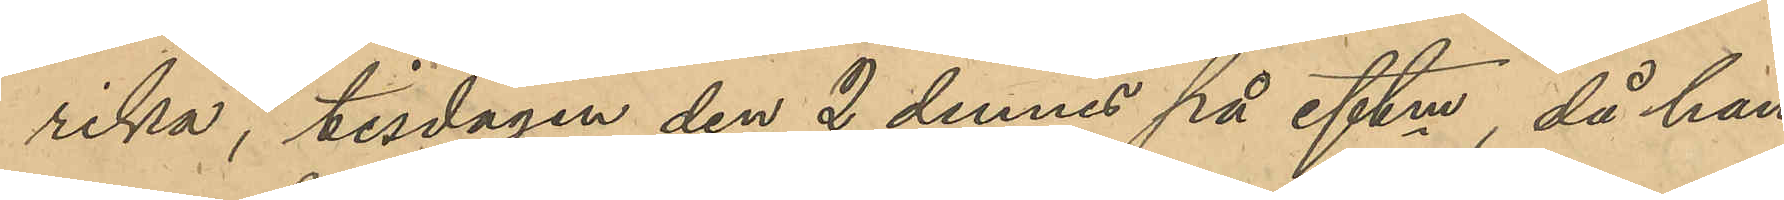rika, tisdagen den 2 dennes på eftm, då han
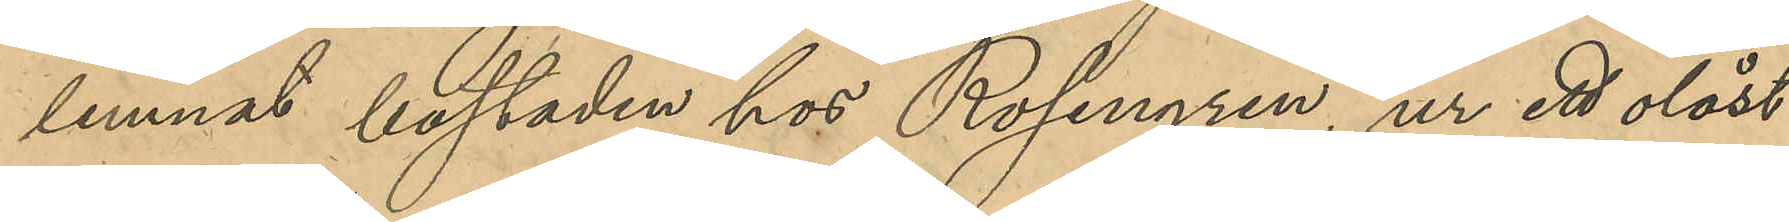lemnat bostaden hos Rosengren, ur ett olåst
